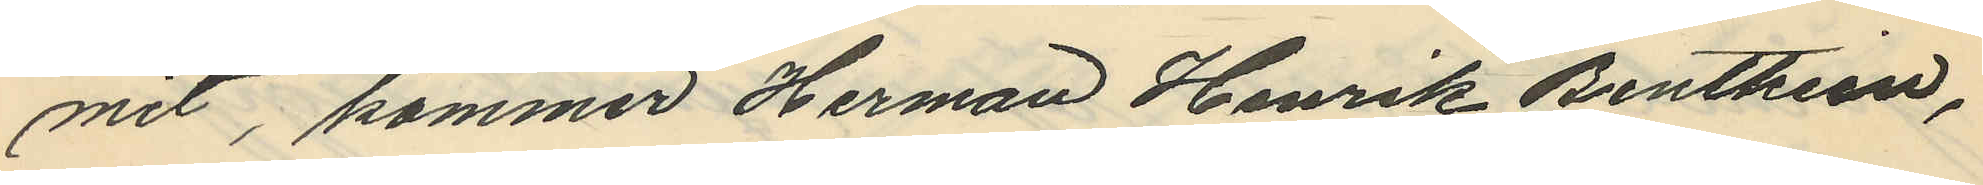mit, kommer Herman Henrik Benthien,
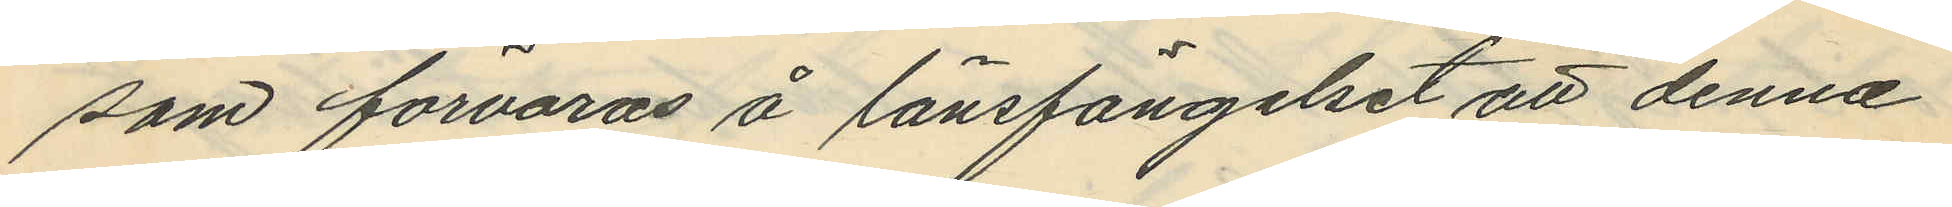som förvaras å länsfängelset att denna
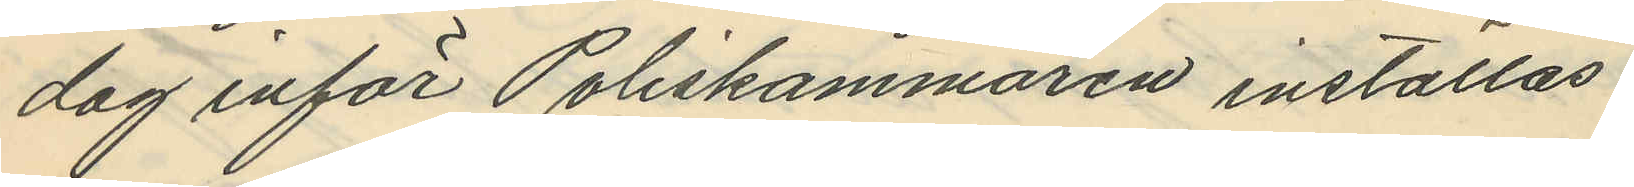dag inför Poliskammaren inställas.
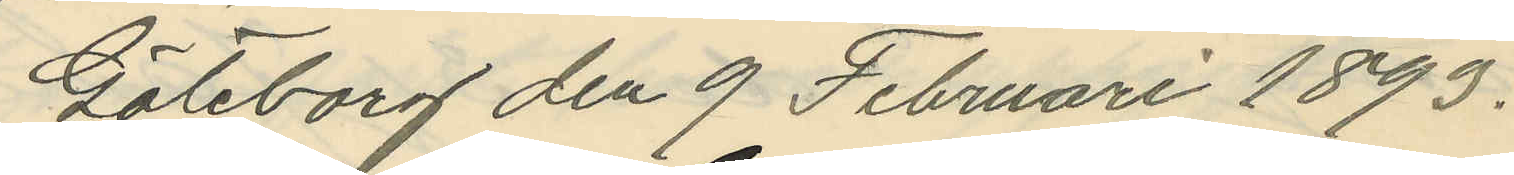Göteborg den 9 Februari 1893.
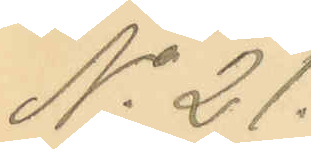No 21.
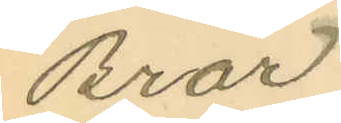Bror
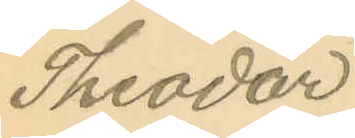Theodor
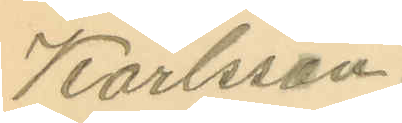Karlsson.
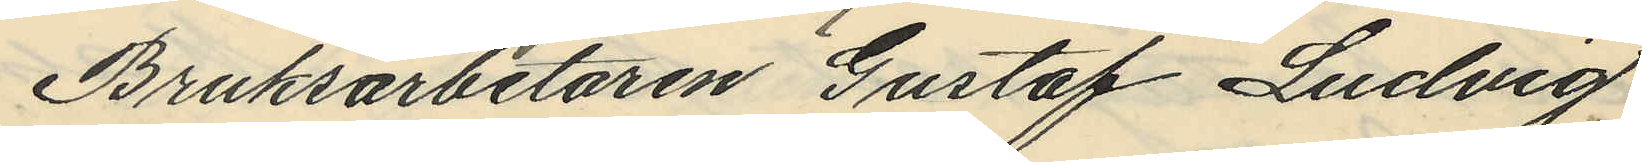Bruksarbetaren Gustaf Ludvig
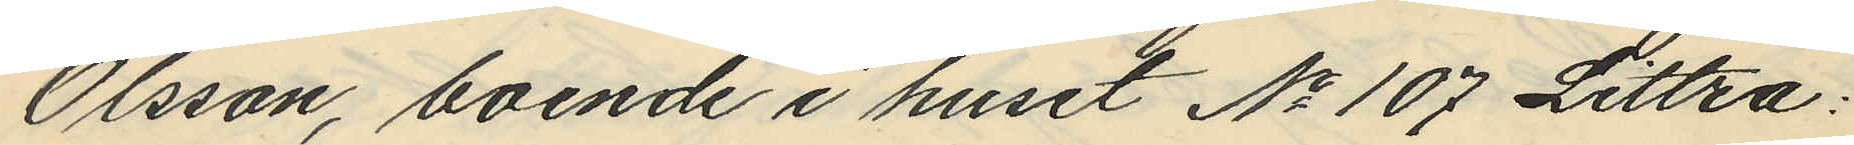Olsson, boende i huset No 107 Littra:
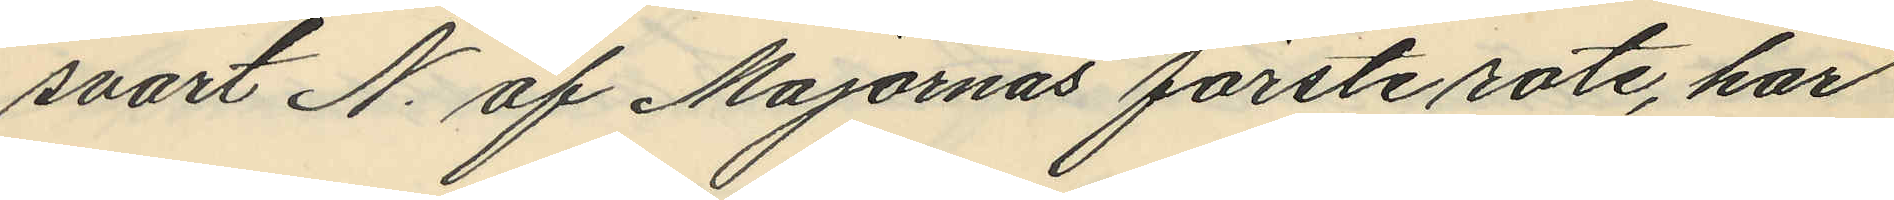svart N. af Majornas förste rote, har
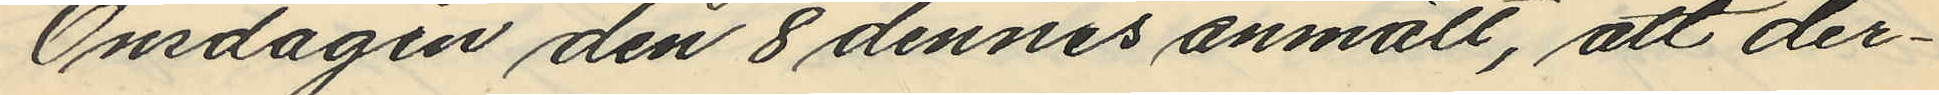Onsdagen den 8 dennes anmält, att der¬
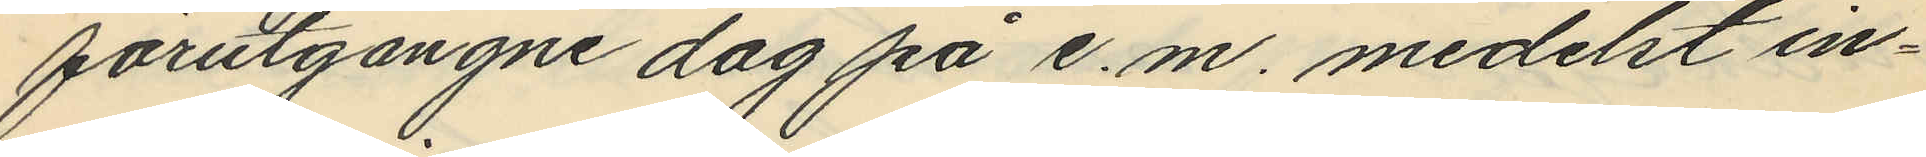förutgangne dag på e. m. medelst in¬
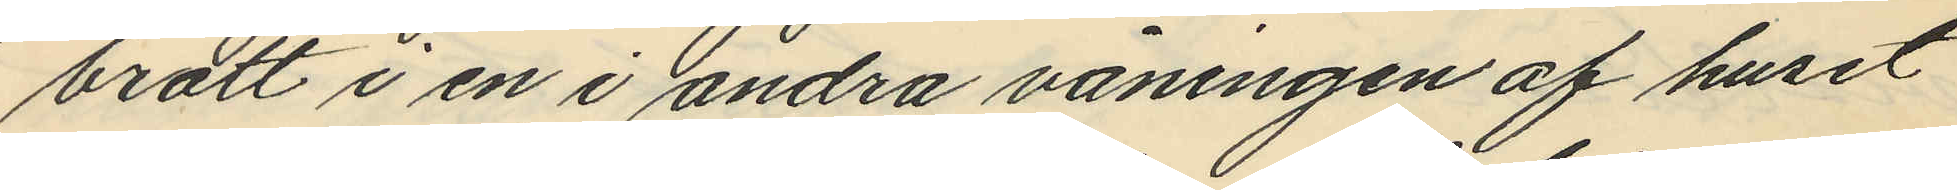brott i en i andra våningen af huset
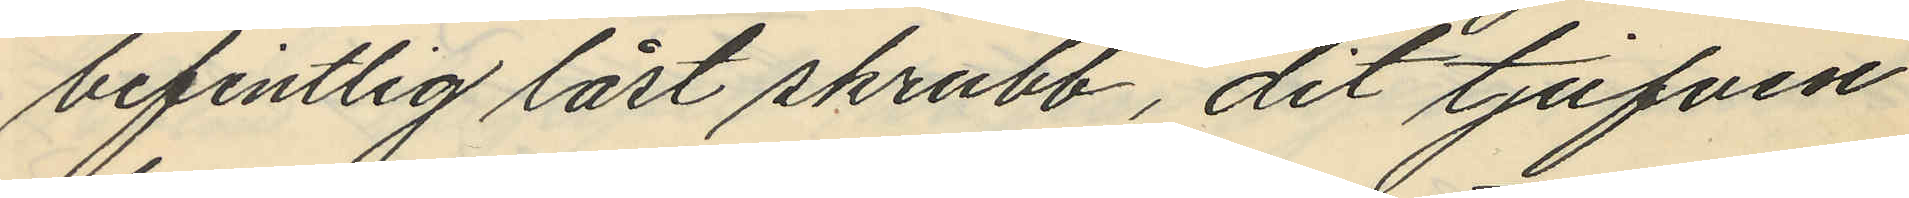befintlig låst skrubb, dit tjufven
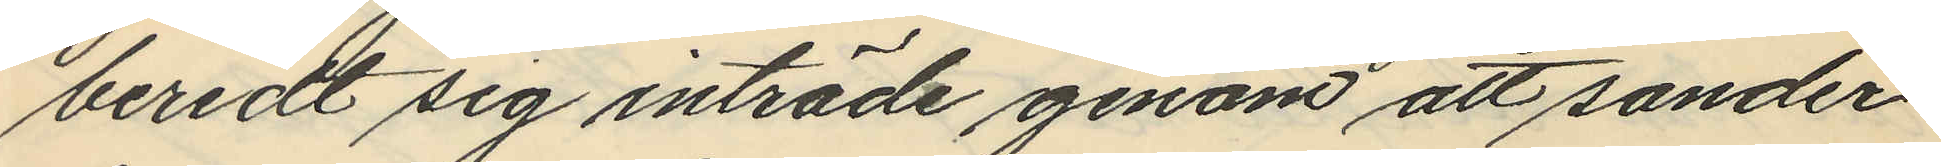beredt sig inträde genom att sonder¬
